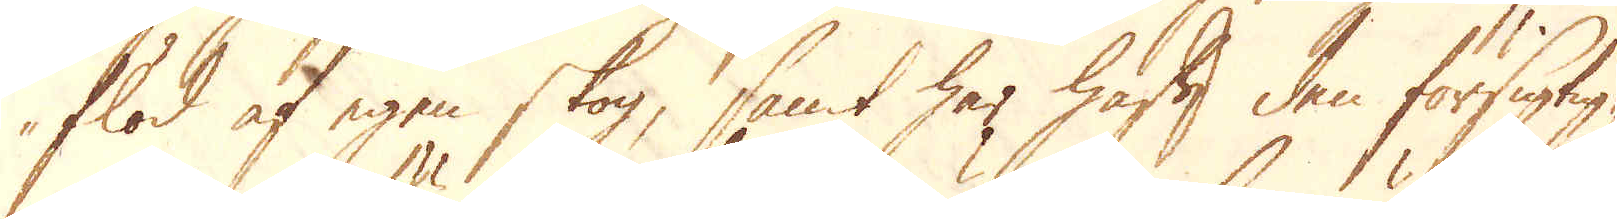flöd af egen skog, samt har haft den försigtig-
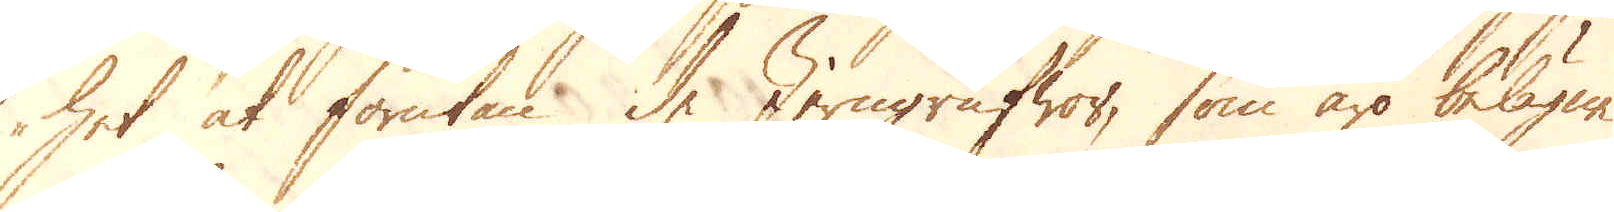het at förutan de Jerngrufwor, som äro belägne
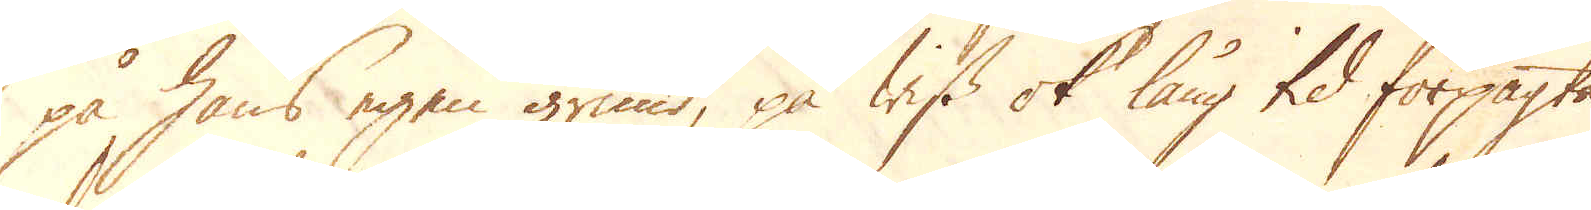på hans egen grund, på wiss ok lång tid förpagta
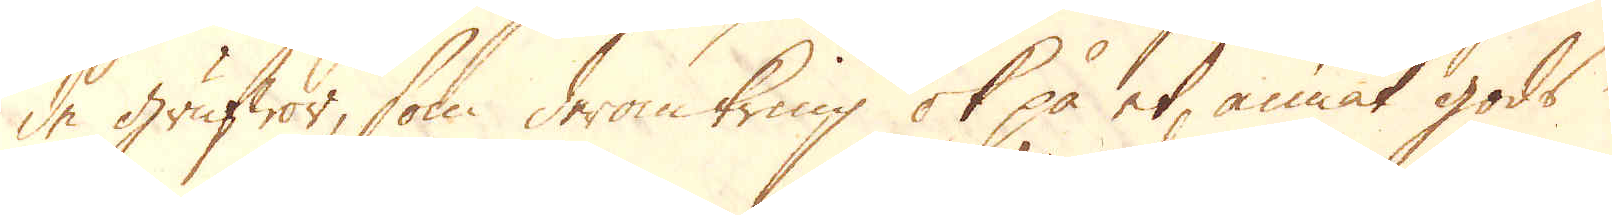de grufwor, som deromkring ok på et annat gods
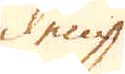dem
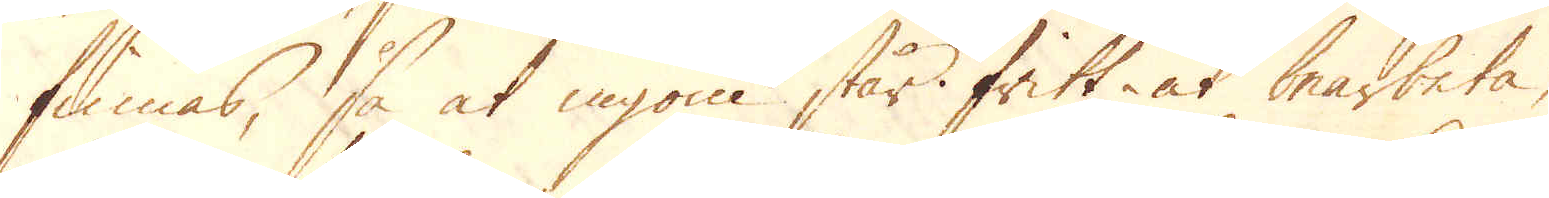finnas, så at ingom står fritt at bearbeta,
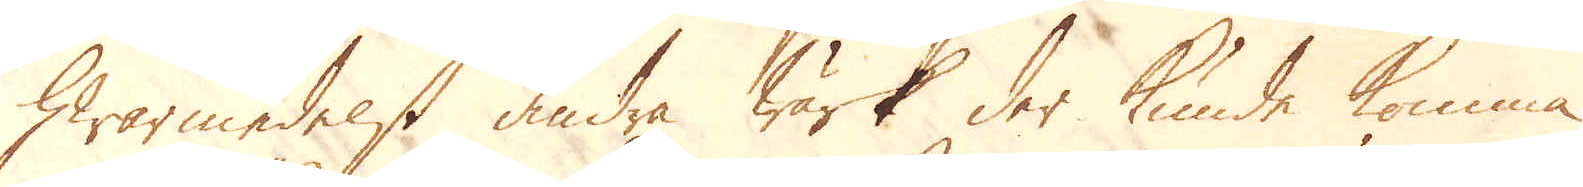hwarmedelst andra Wärk der kunde komma
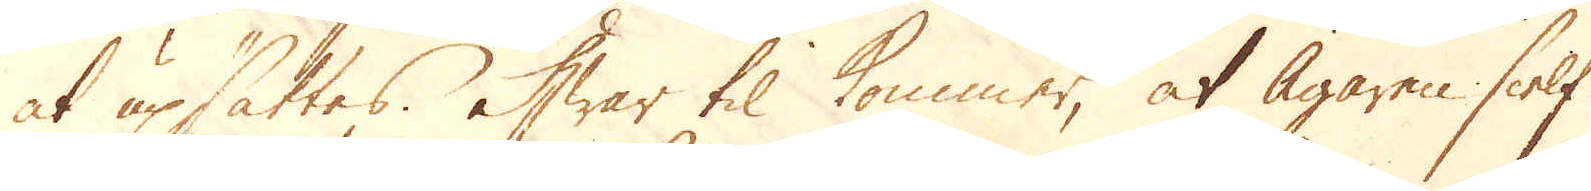at upsättes. Hwar til kommer, at Ägaren sielf
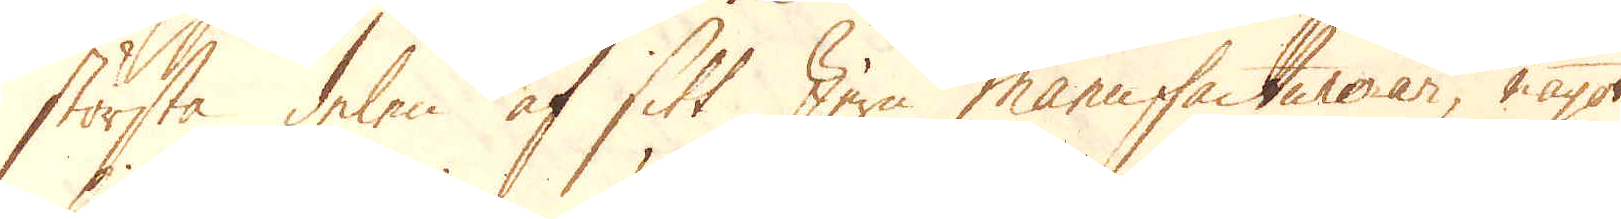största delen af sitt Jern manufacturerar, något
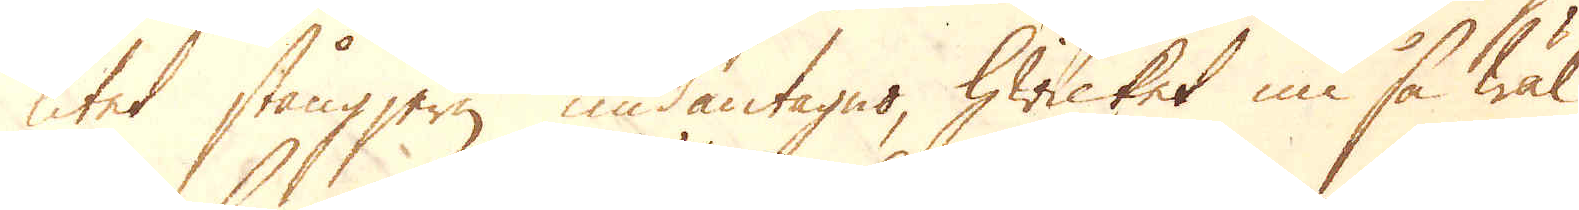litet stångjern undantaget, hwilket nu så wäl
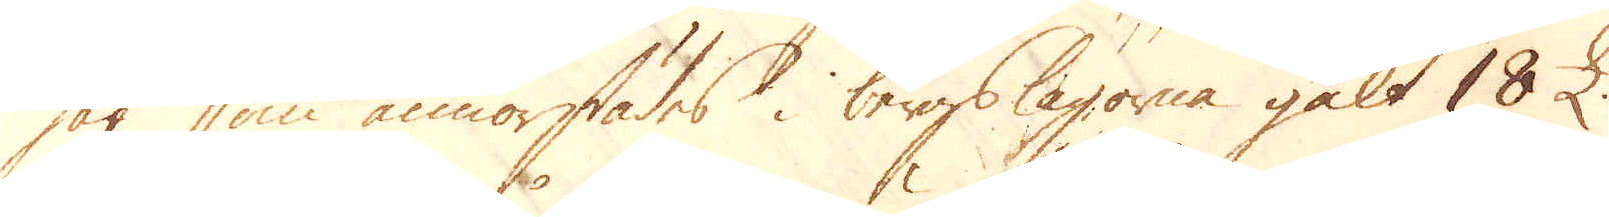här som annorstädes i bergslagorna gelt 18 £
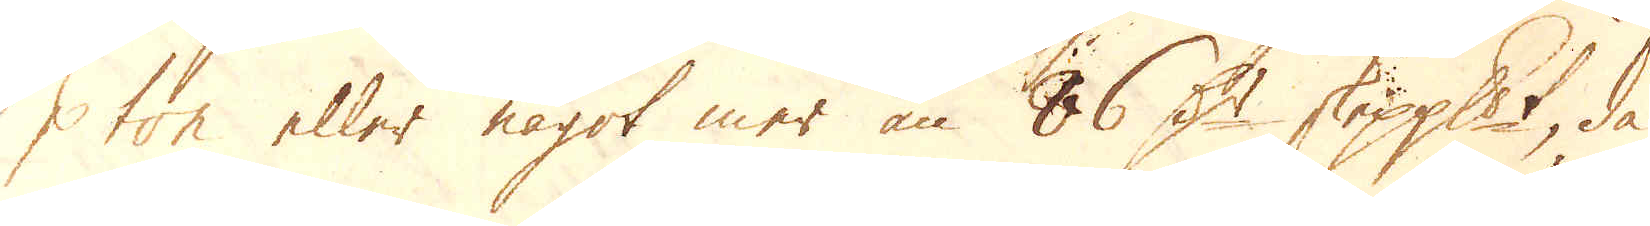p ton eller något mer än 86 D:r skeppundet, då
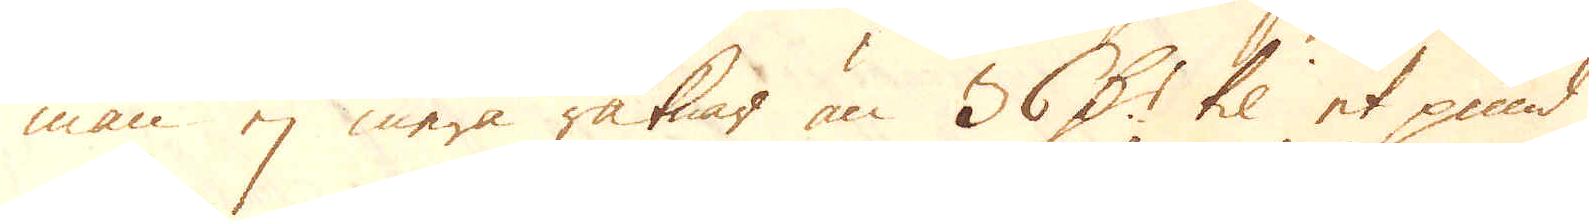man ej mera räknar än 36 D:r til et pund
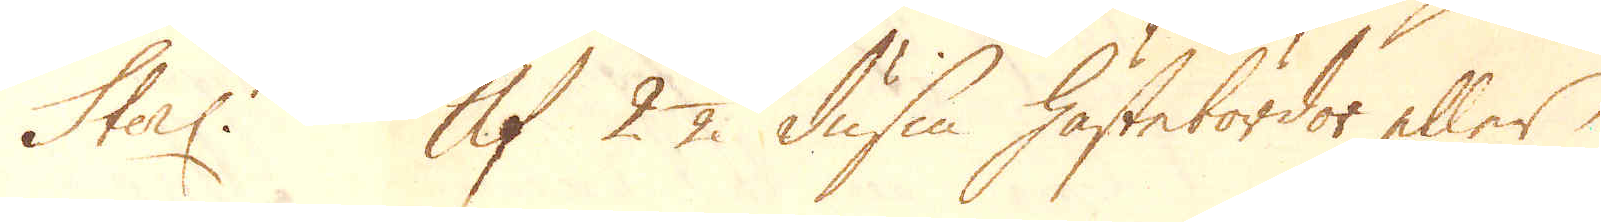Sterl. Af 2 1/2 dussin hästebördor eller
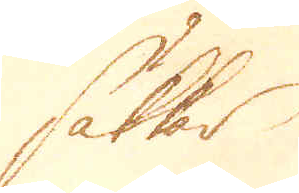säkkar
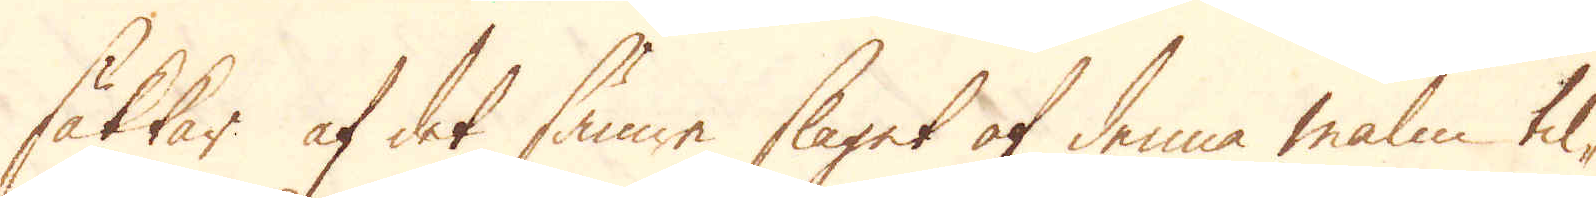säkkar af det sämre slaget af denna malm til-
